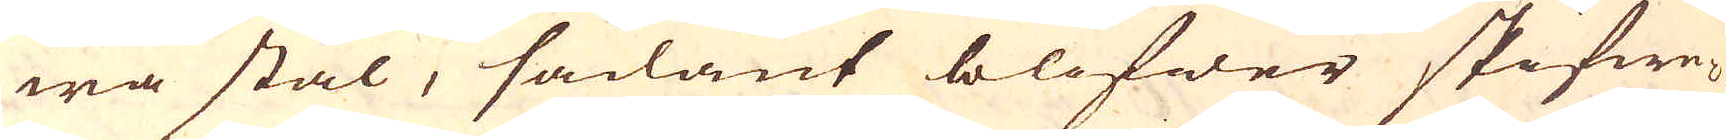wa stål, sådant blifwer skifwe-
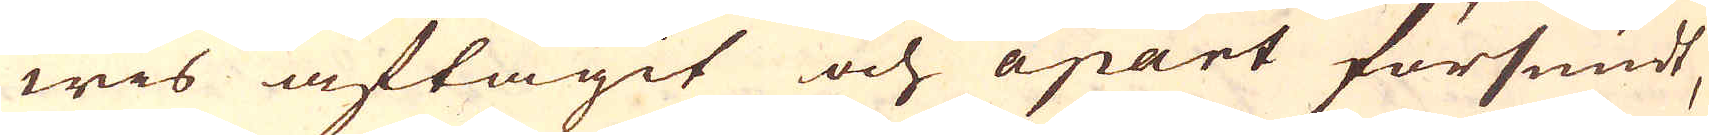wis aftagit och apart försmidt,
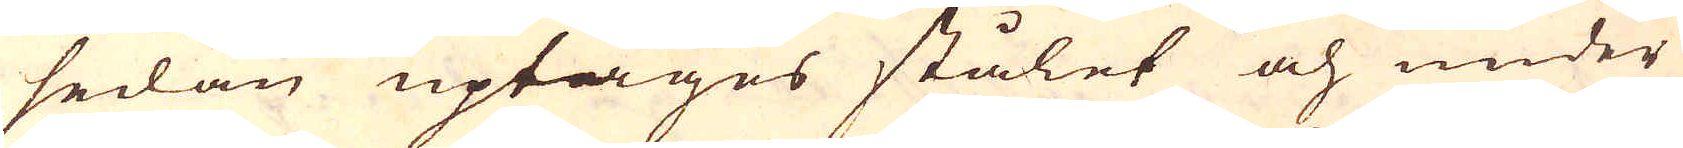sedan uptages stålet och under
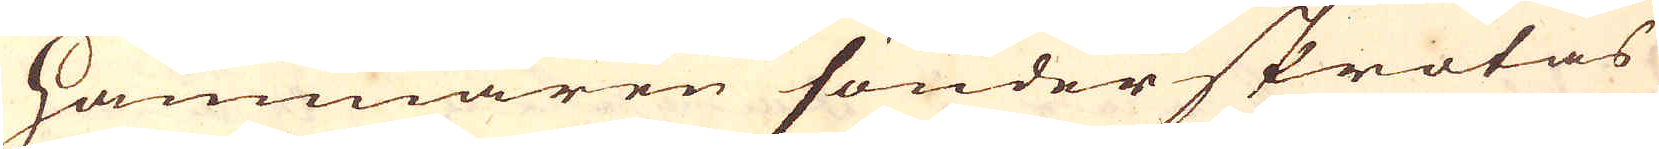Hammaren sönder skrotas
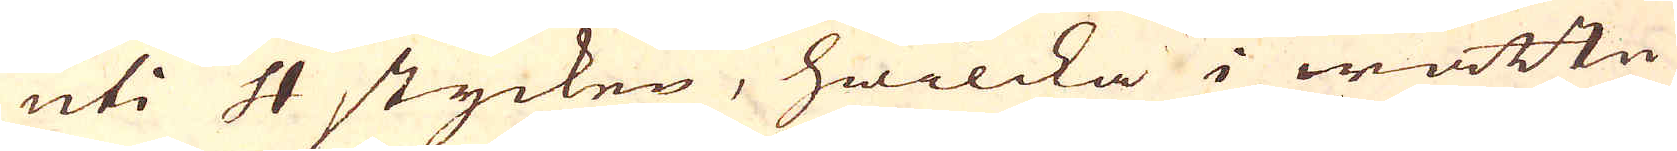uti 4 stycken, hwilcka i wattn
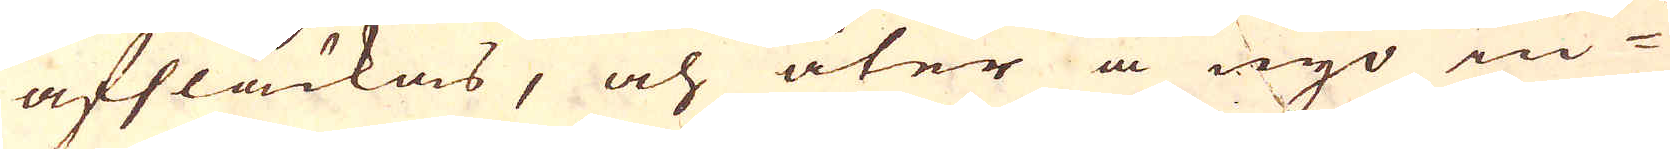afsläckas, och åter å nyo in-
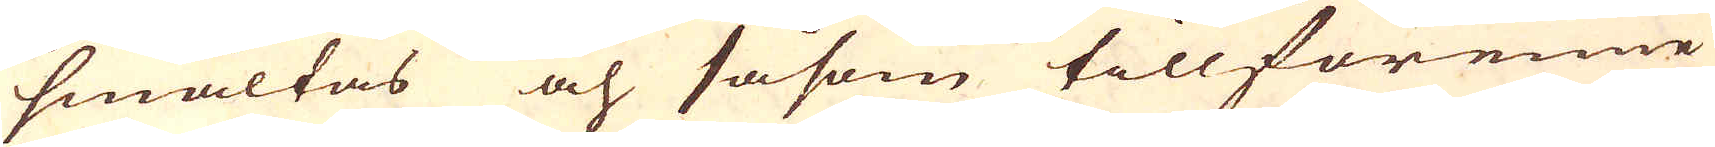smältas och såsom tillförenne
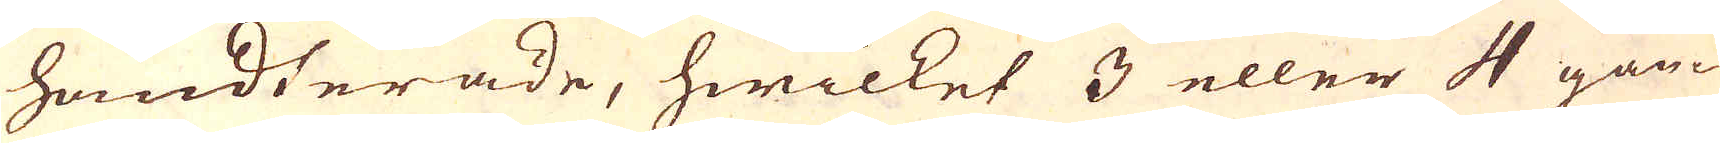handterade, hwilket 3 eller 4 gån-
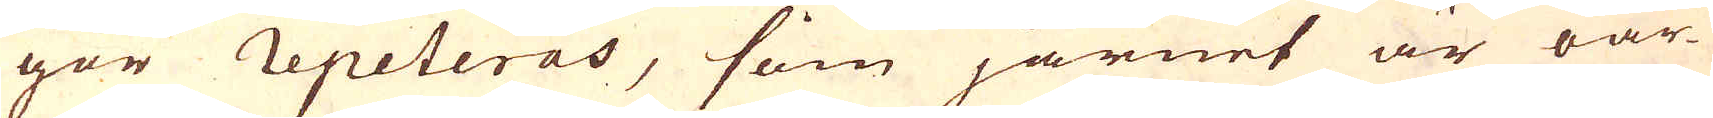ger repeteras, som järnet är oar-
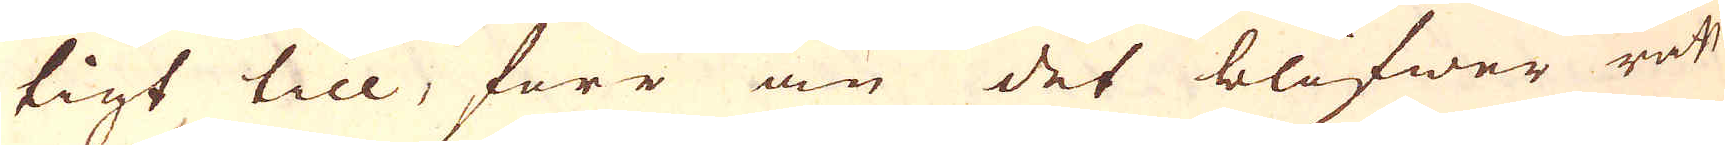tigt till, före än det blifwer rätt
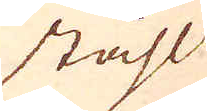ståhl
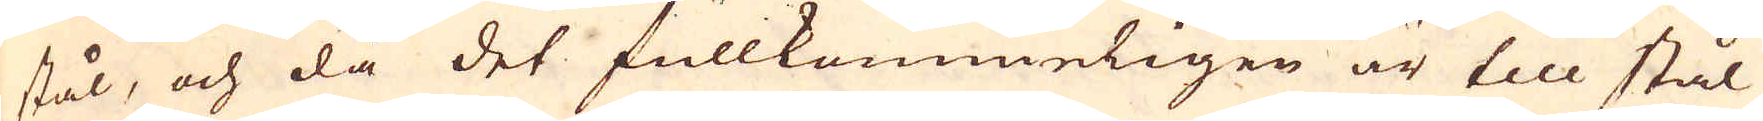stål, och då det fullkommeligen är till stål
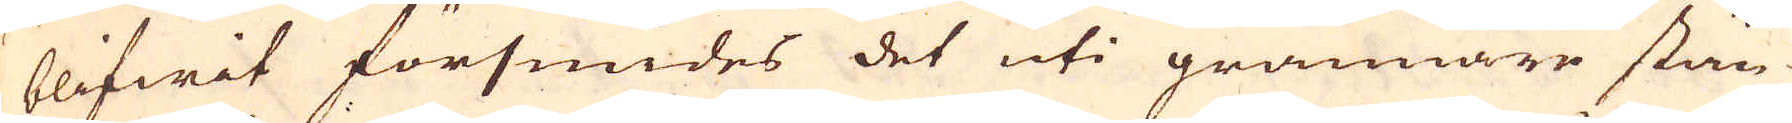blifwit försmides det uti grannare stän-
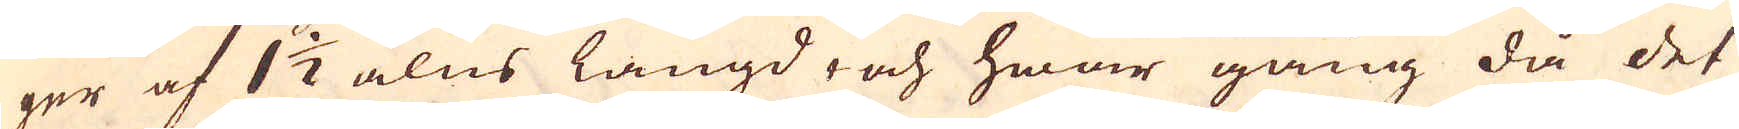ger af 1 1/2 alns längd, och hwar gång då det
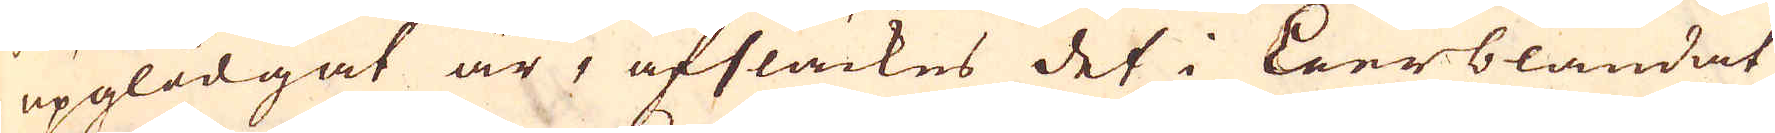upglödgat är, afsläckes det i Leerblandat
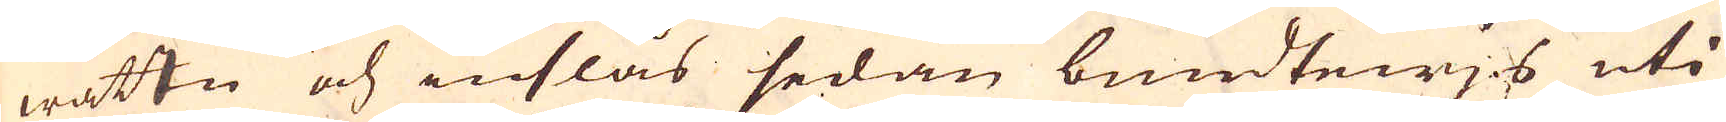wattn och inslås sedan bundtewjs uti
